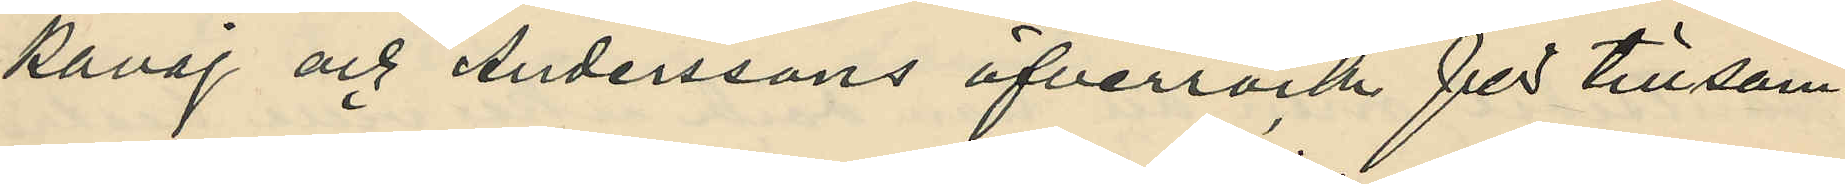kavaj och Anderssons öfverrock för tillsam¬
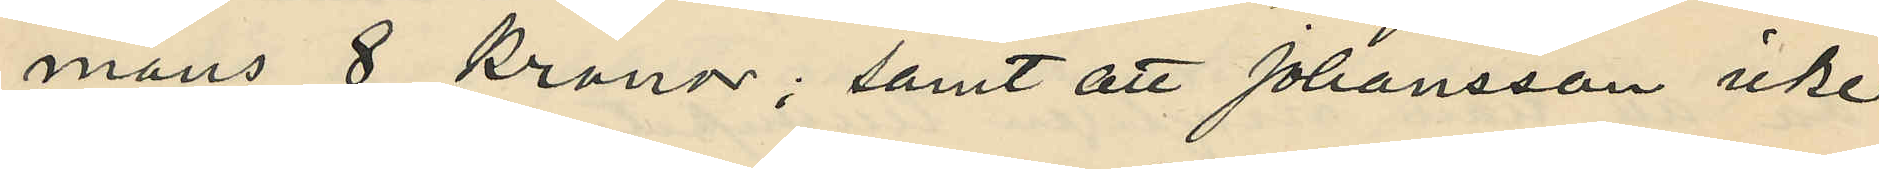mans 8 kronor; samt att Johansson icke
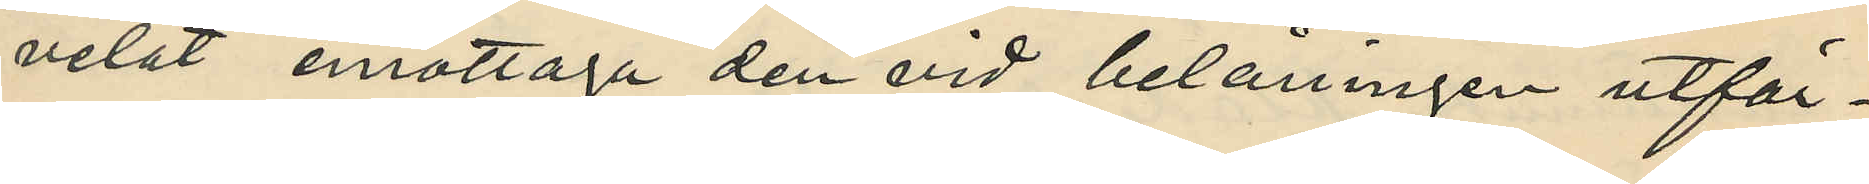velat emottaga den vid belåningen utfär¬
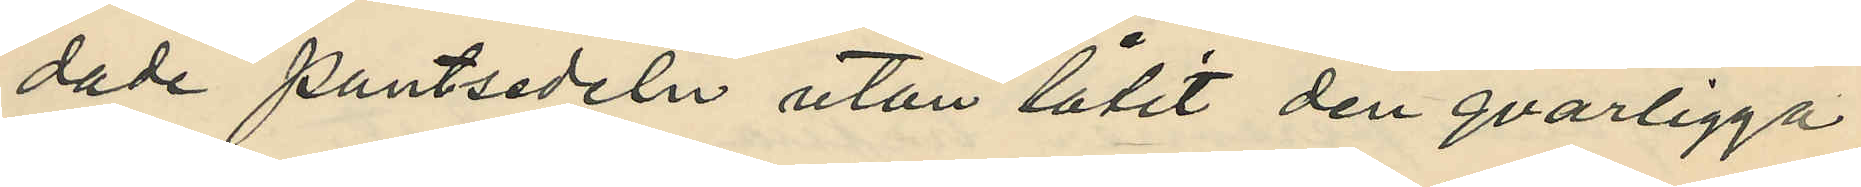dade pantsedeln utan låtit den qvarligga
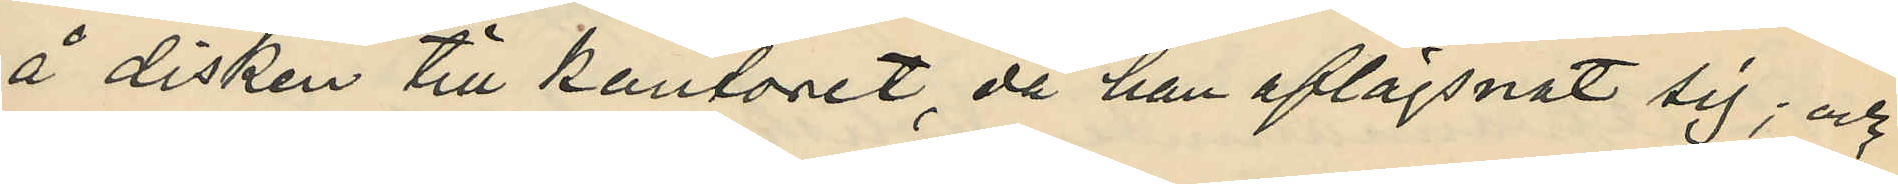å disken till kontoret, då han aflägsnat sig; och
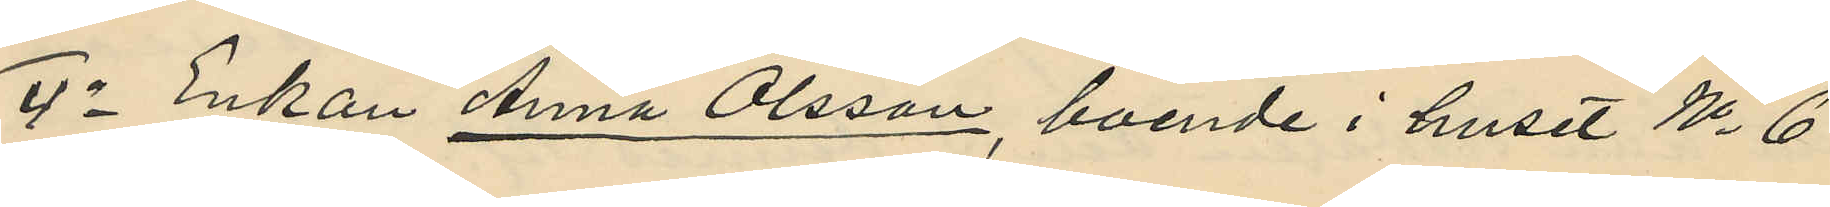4o Enkan Anna Olsson, boende i huset No 6
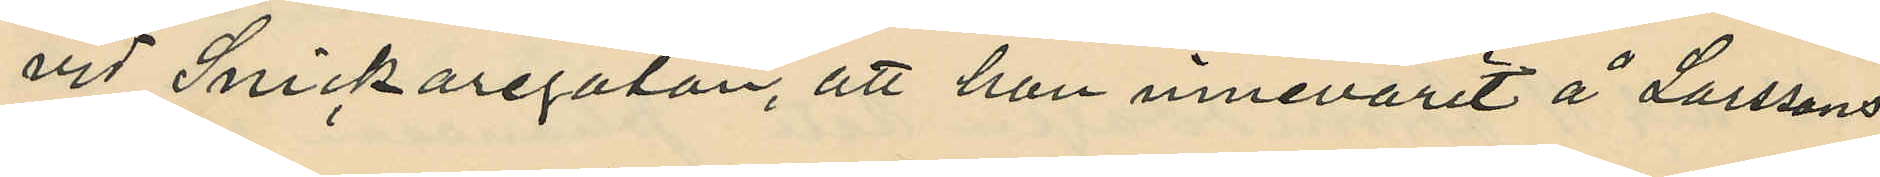vid Snickaregatan, att hon innevarit å Larssons
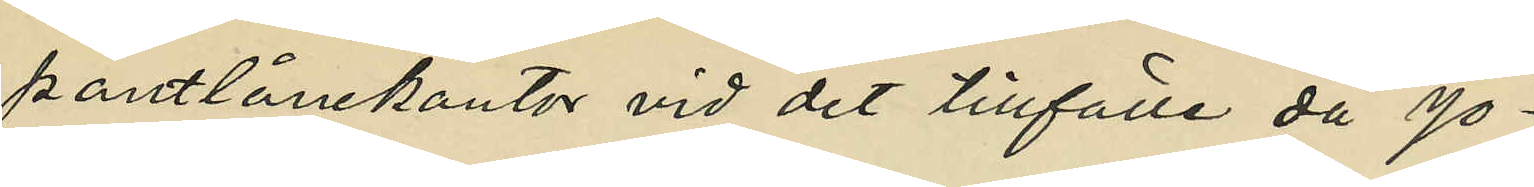pantlånekontor vid det tillfälle då Jo¬
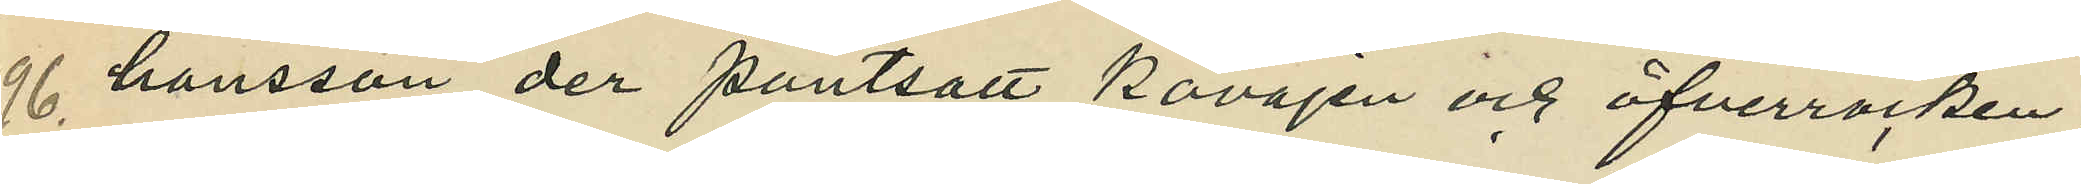hansson der pantsatt kavajen och öfverrocken.
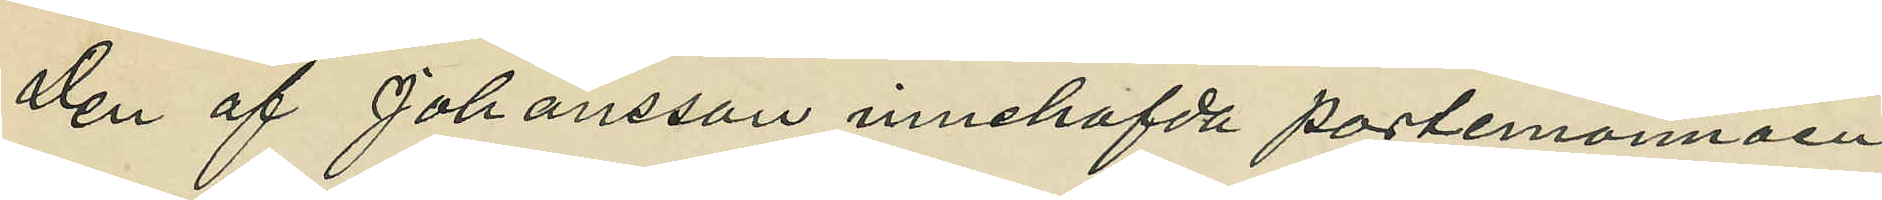Den af Johansson innehafvda portemonnäen
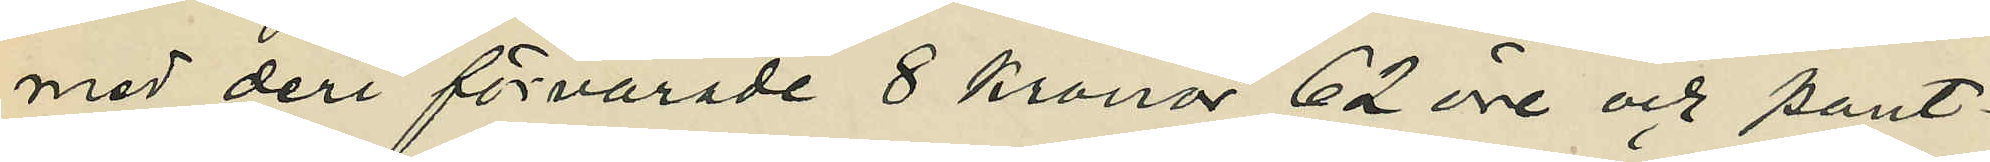med deri förvarade 8 kronor 62 öre och pant¬
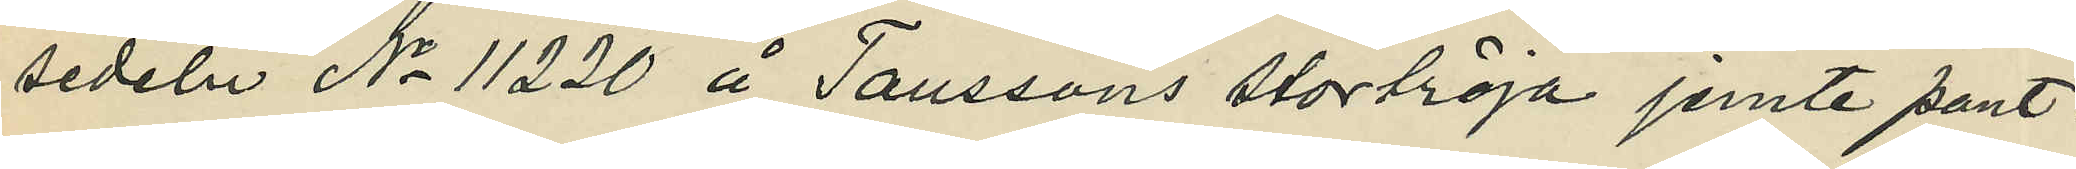sedeln No 11220 å Taussons stortröja jemte pant¬
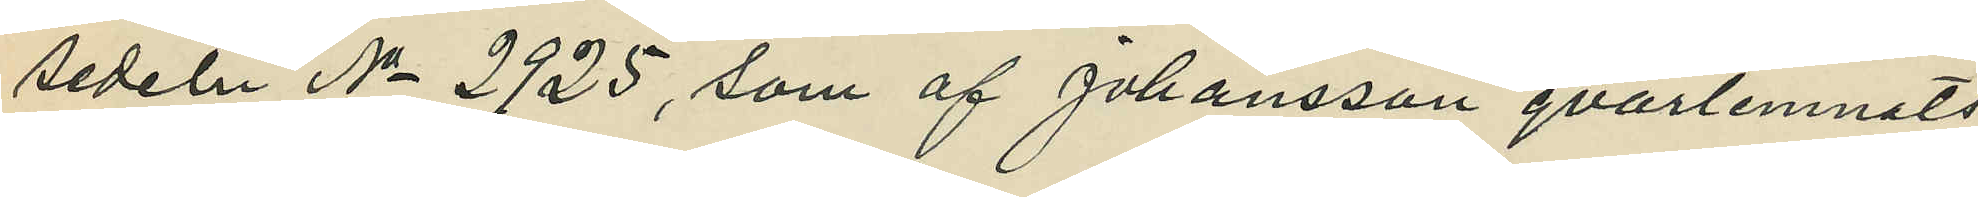sedeln No 2925, som af Johansson qvarlemnats
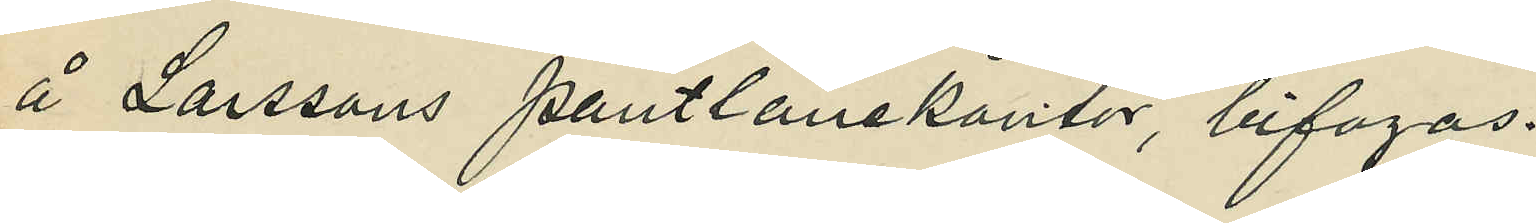å Larssons pantlånekontor, bifogas.
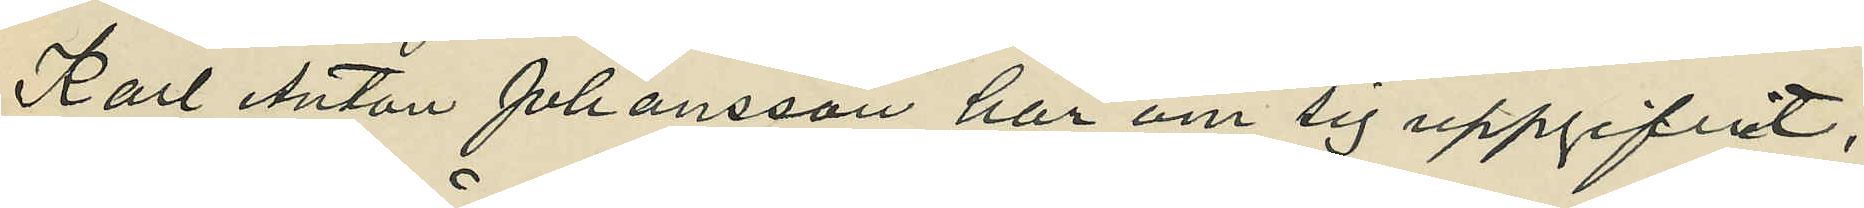Karl Anton Johansson har om sig uppgifvit,
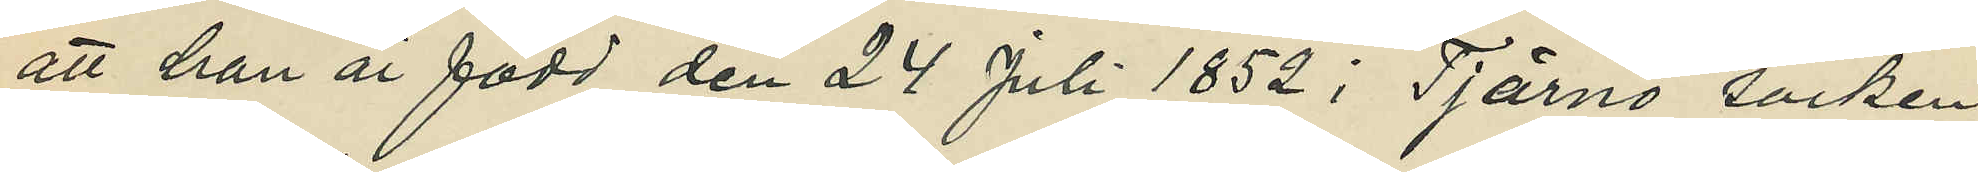att han är född den 24 juli 1852 i Tjärnö socken
